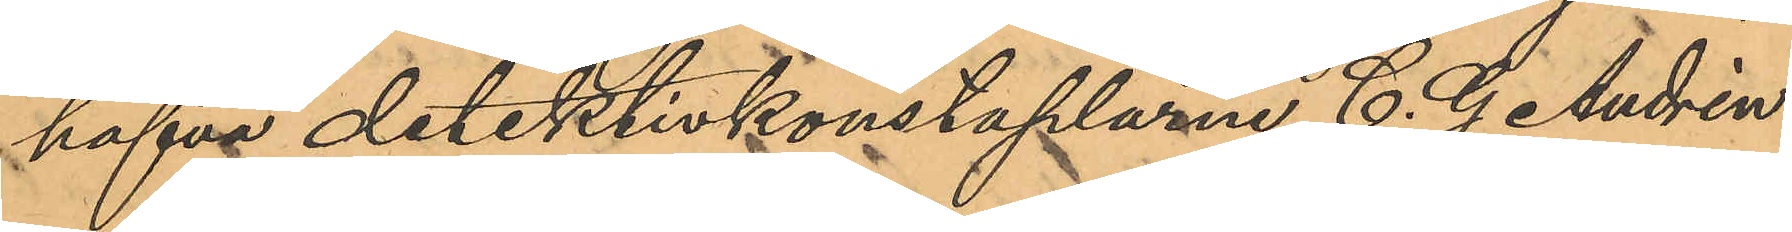hafva detektivkonstaplarne C. G. Andrén
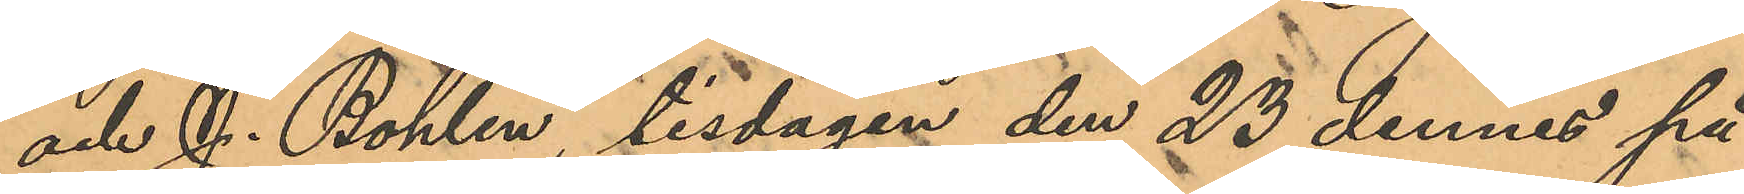och J. Bohlin, tisdagen den 23 dennes på
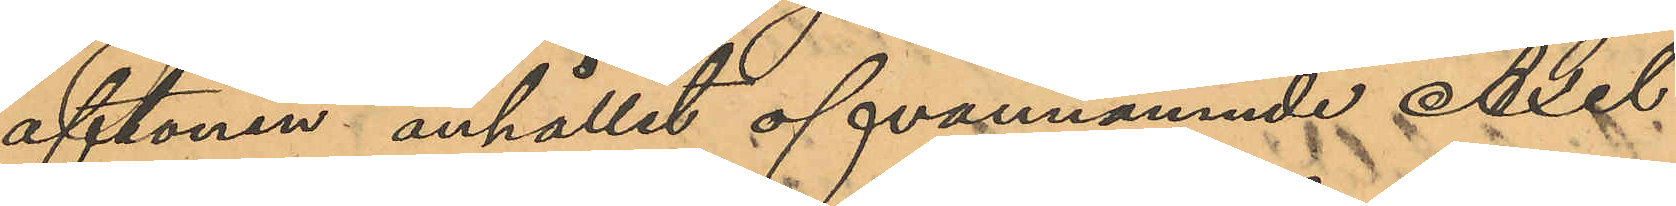aftonen anhållit ofvannämnde Axel
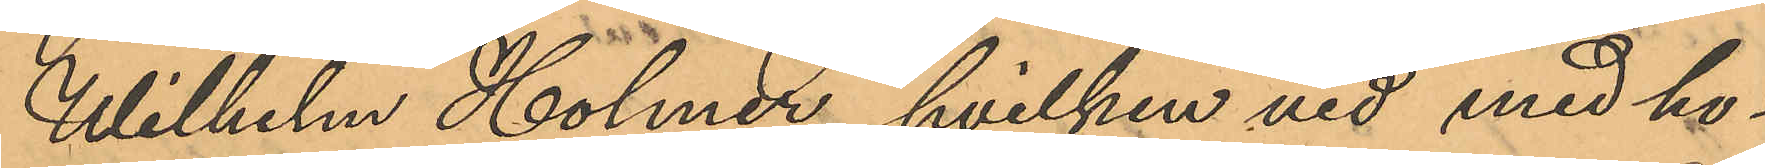Wilhelm Holmer, hvilken vid med ho¬
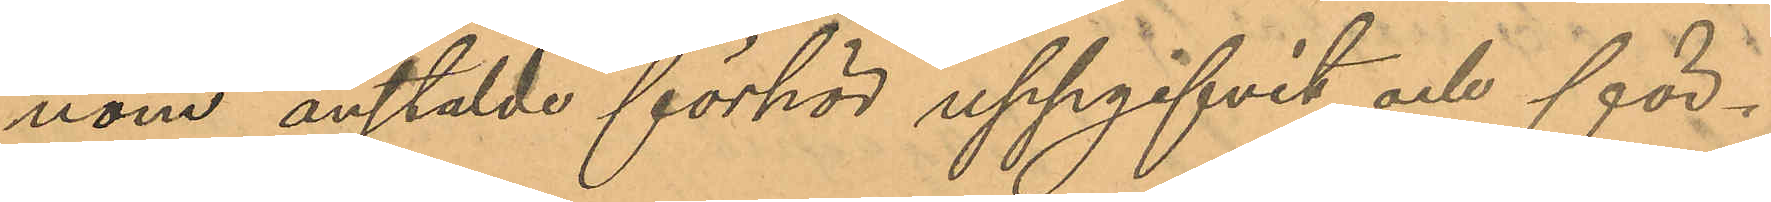nom anstälde förhör uppgifvit och för¬
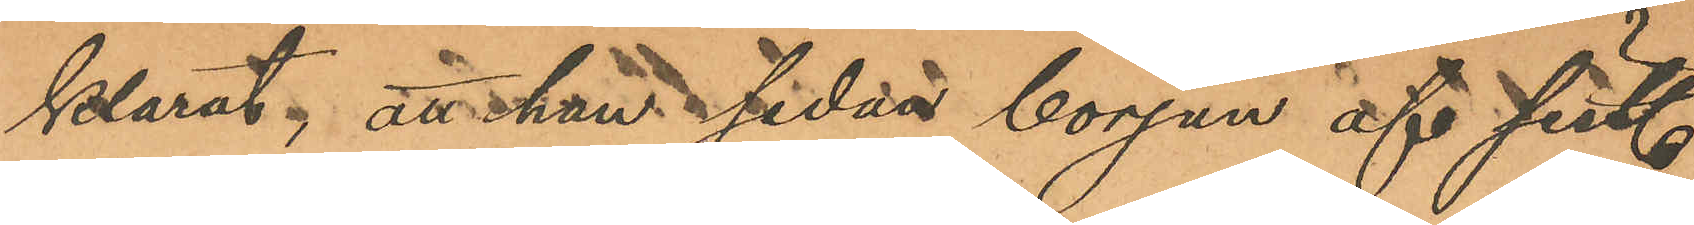klarat; att han sedan början af sist.
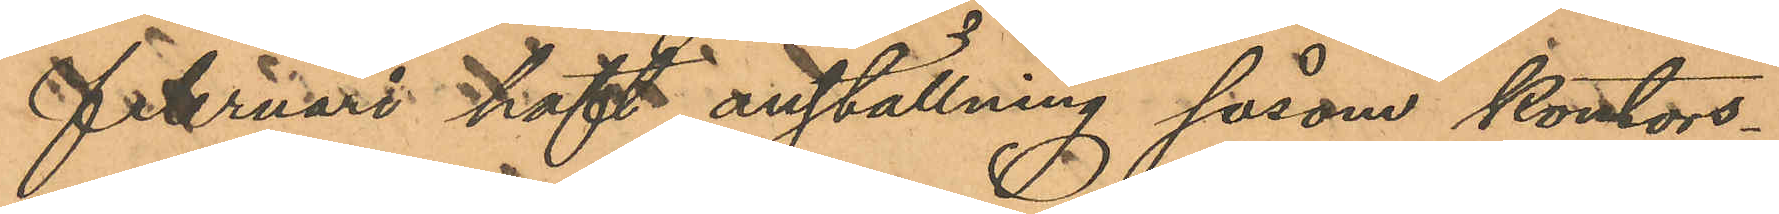Februari haft anställning såsom kontors¬
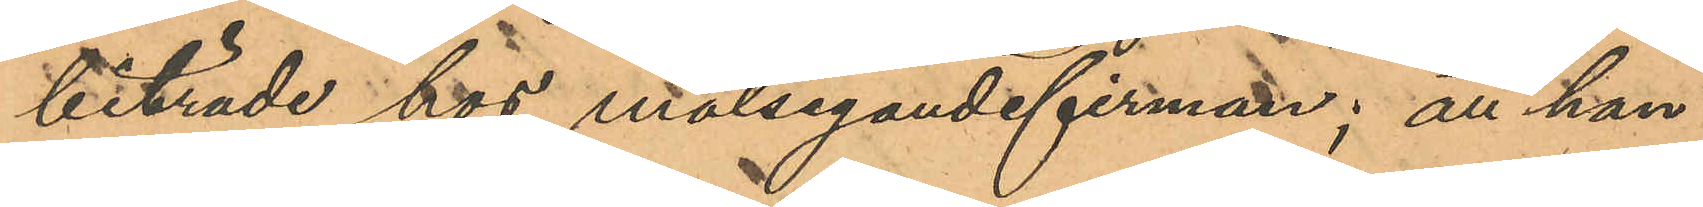biträde hos målsegandefirman; att han
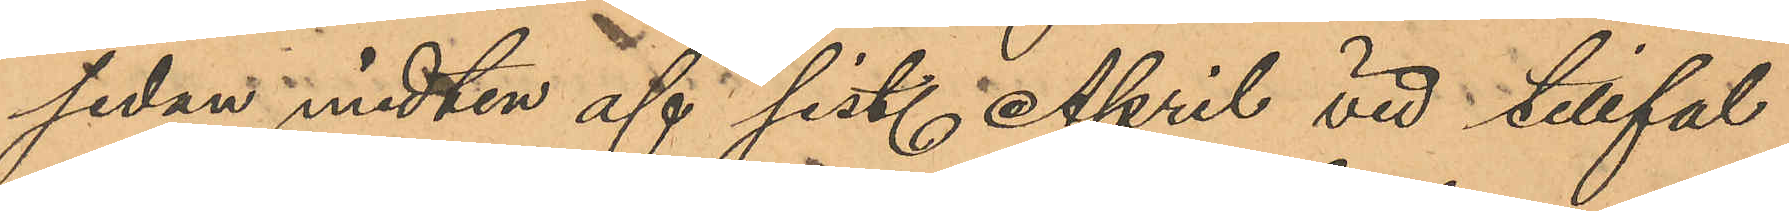sedan midten af sist. April vid tillfäl¬
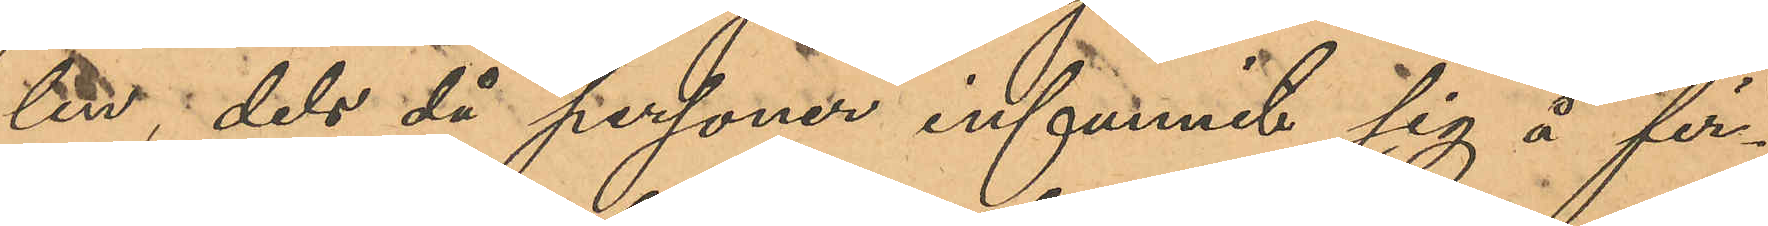len, dels då personer infunnit sig å fir¬
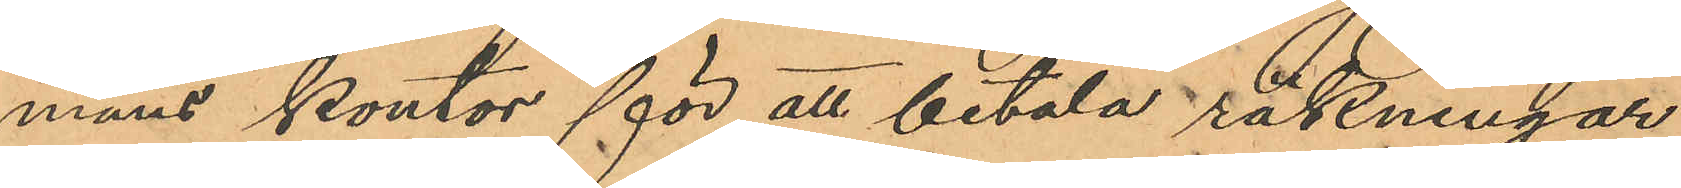mans kontor för att betala räkningar
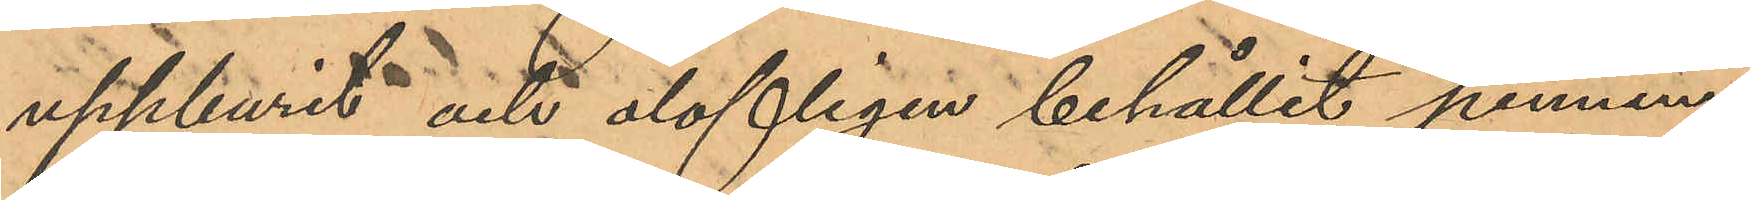uppburit och olofligen behållit pennin¬
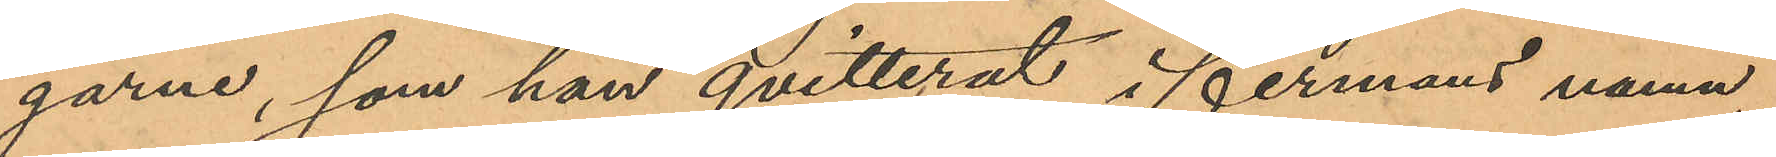garne, som han qvitterat i firmans namn,
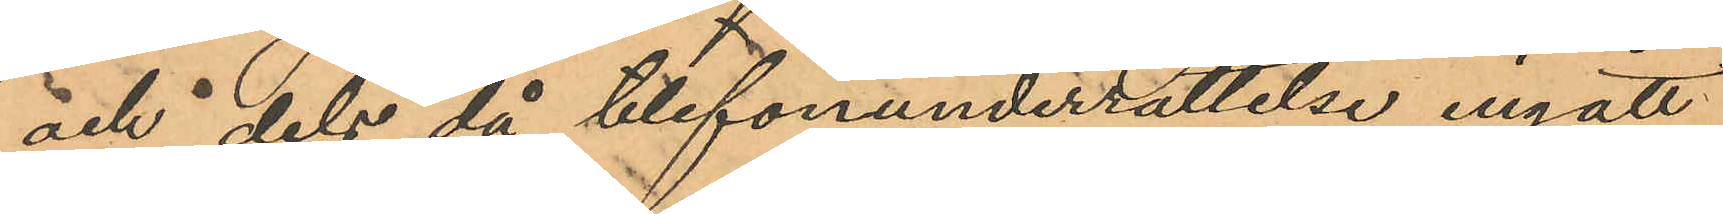och dels då telefonunderrättelse ingått
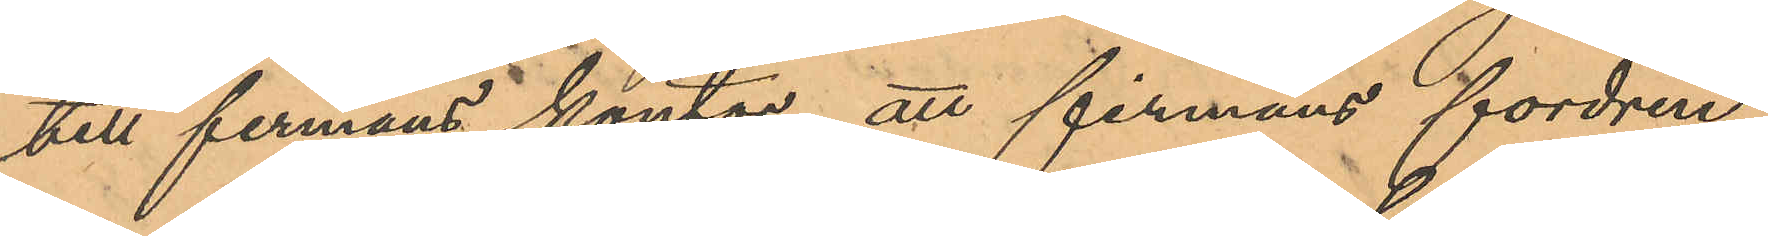till firmans kontor att firmans fordrin¬
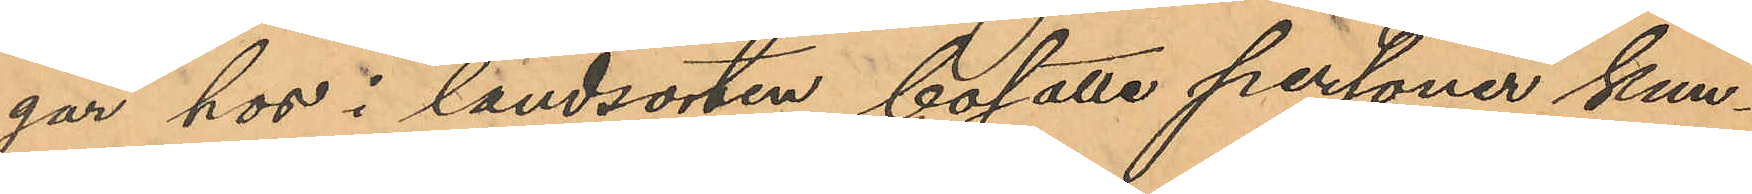gar hos i landsorten bosatte personer kun¬
